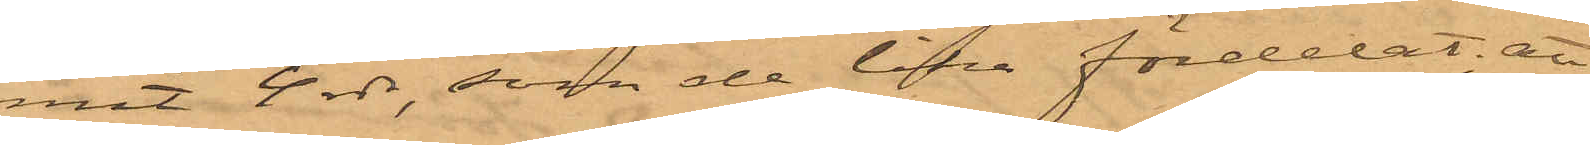mit 4 rdr, som de lika fördelat; att
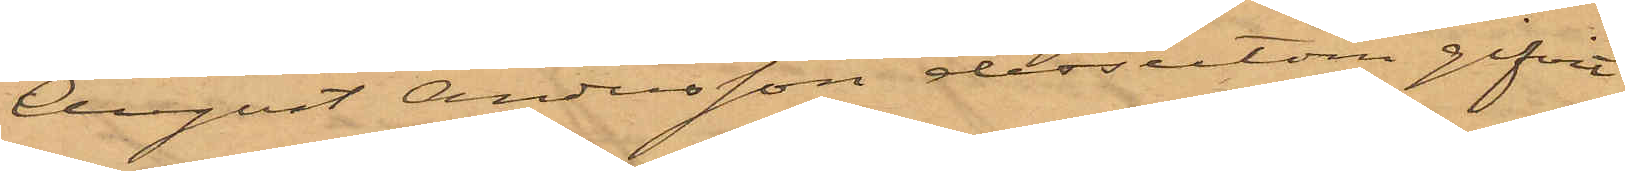August Andersson dessutom gifvit
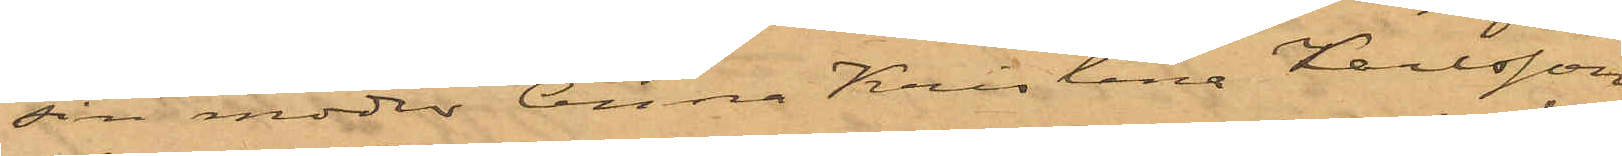sin moder Anna Kristina Karlsson
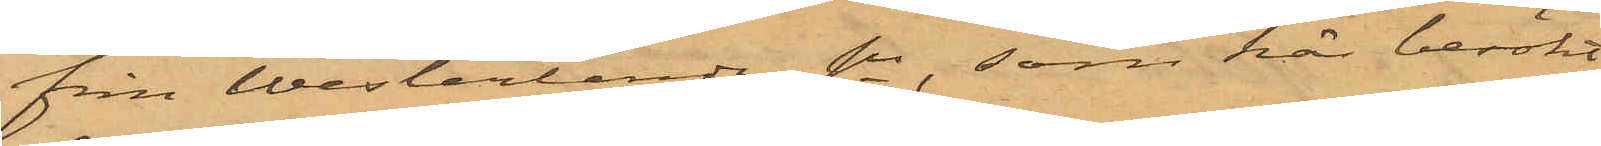från Westerlanda sn, som här besökt
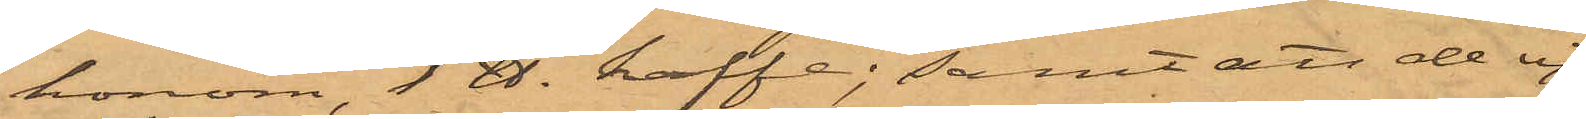honom, 1 ℔. kaffe; samt att de ej
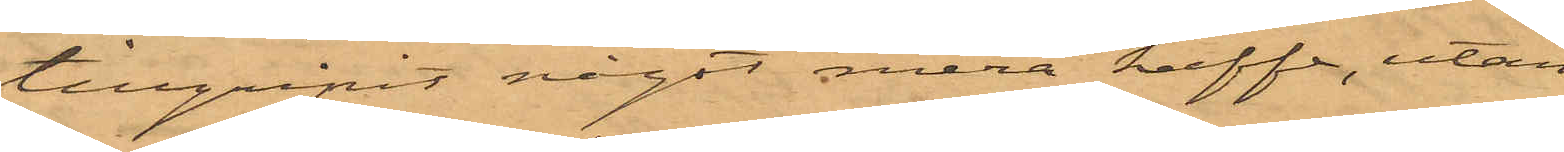tillgripit något mera kaffe, utan
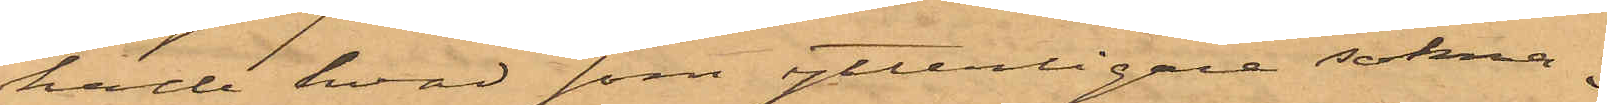hade hvad som ytterligare sakna¬
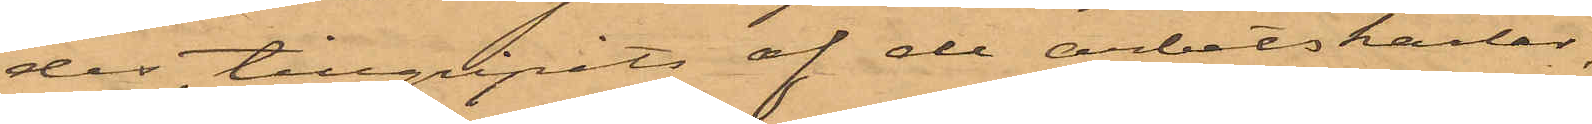des, tillgripits af de arbetskarlar,
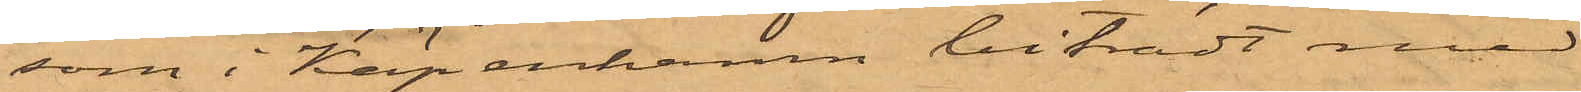som i Köpenhamn biträdt med
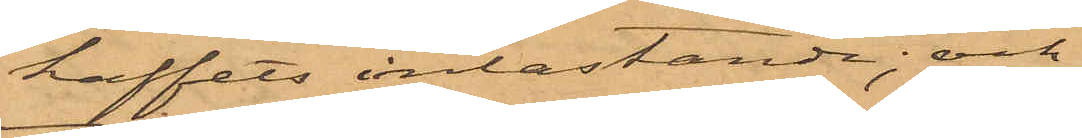kaffets inlastande; och
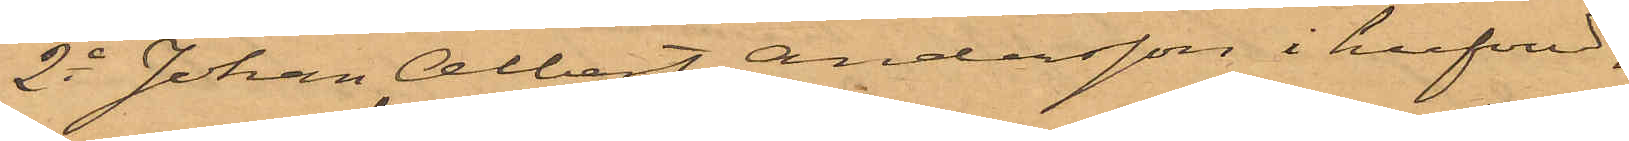2o Johan Albert Andersson i hufvud¬
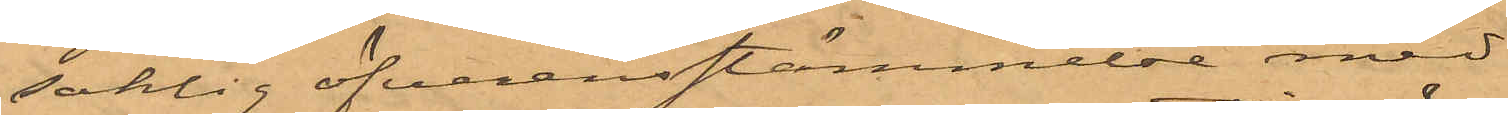saklig öfverensstämmelse med
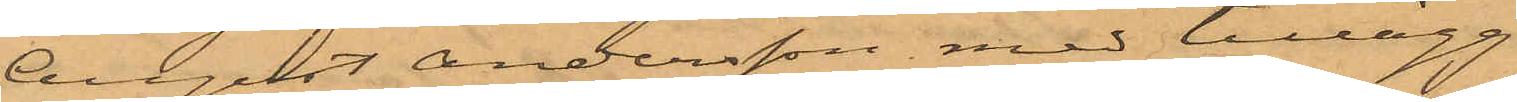August Andersson med tillägg
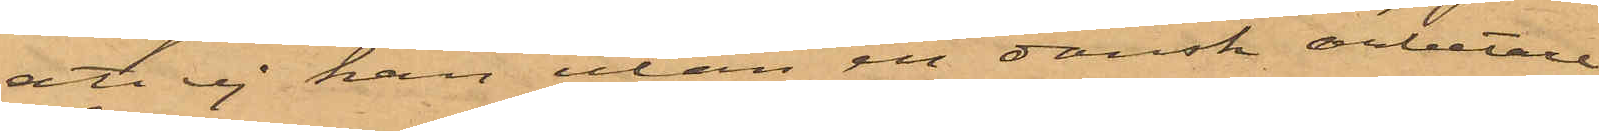att ej han utan en dansk arbetare
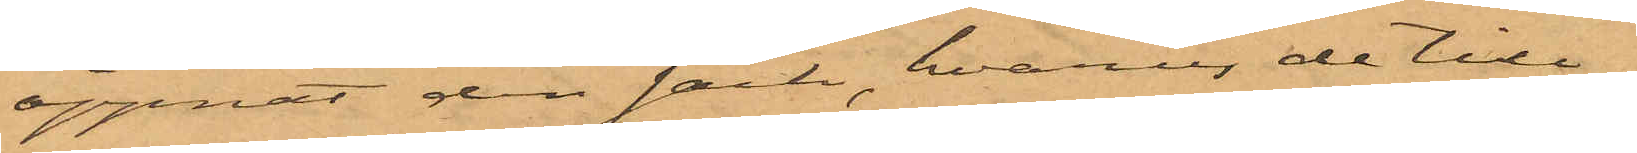öppnat den säck, hvarur de till¬
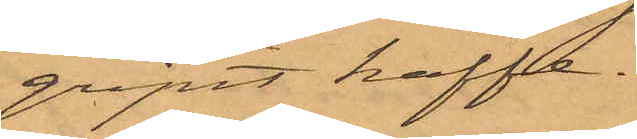gripit kaffe.
